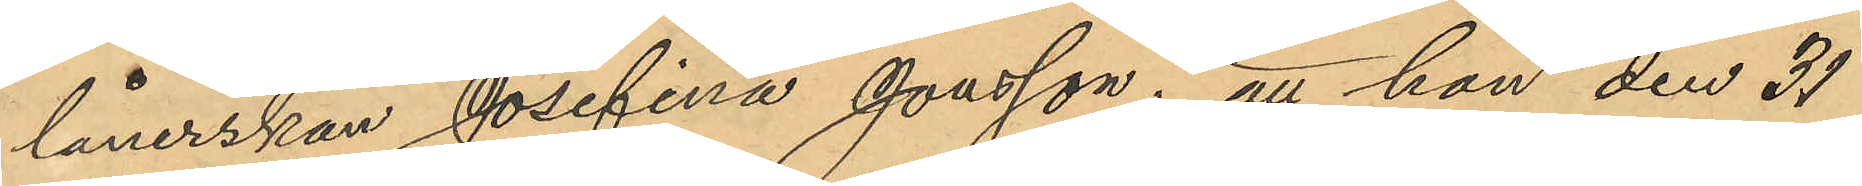lånerskan Josefina Jonsson; att hon den 31
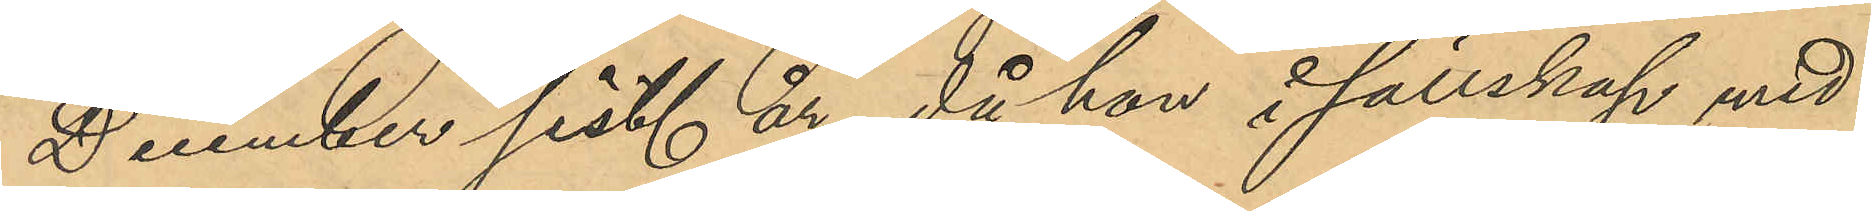December sist. år, då hon i sällskap med
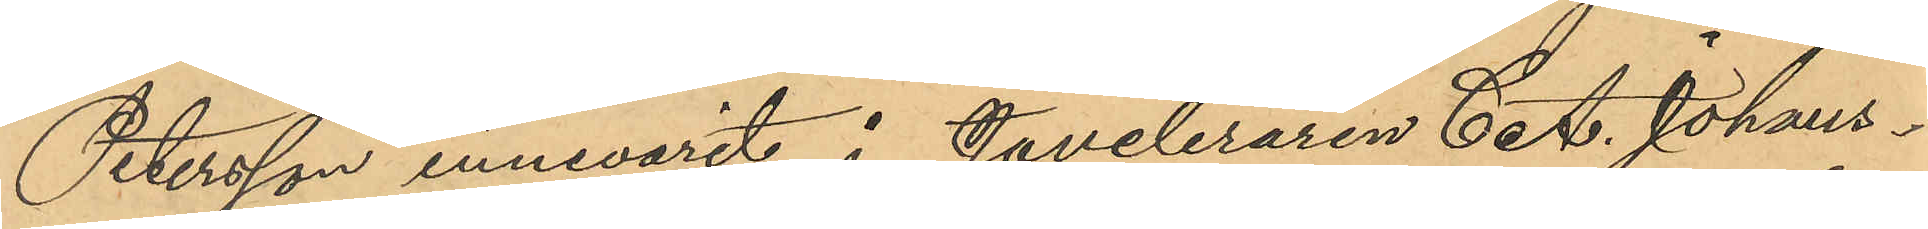Petersson innevarit å Juveleraren C. A. Johans¬
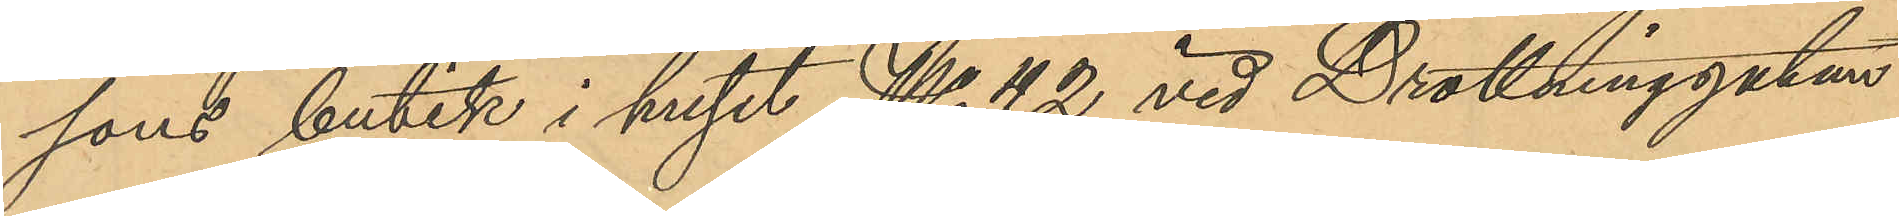sons butik i huset No 42 vid Drottninggatan
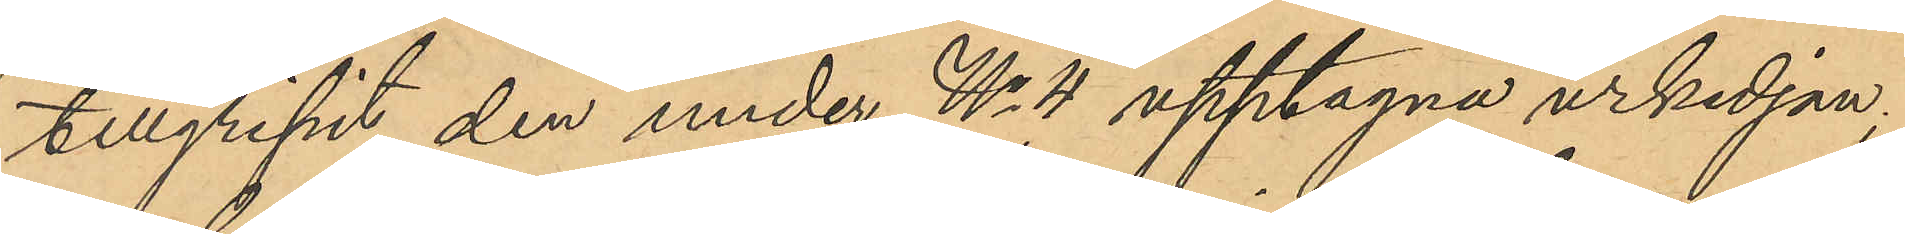tillgripit den under No 4 upptagna urkedjan;
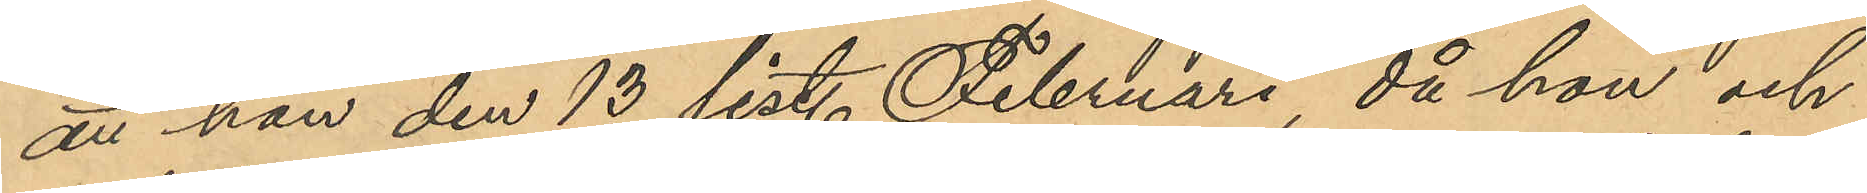att hon den 13 sist. Februari, då hon och
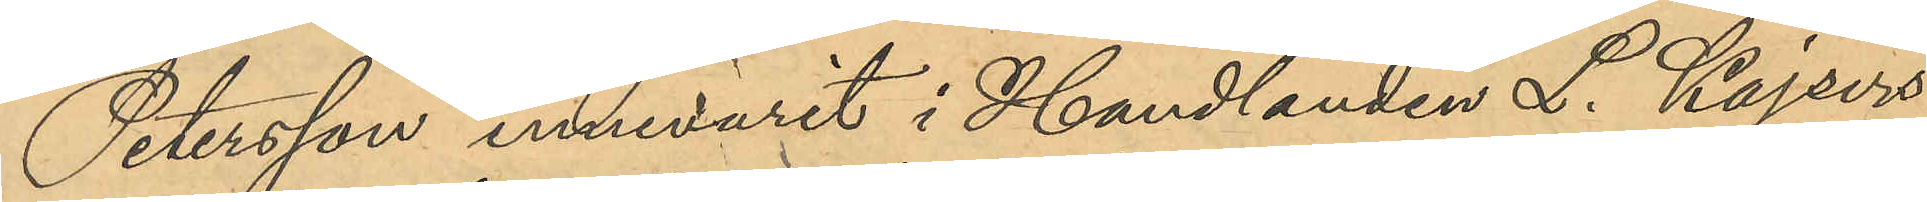Petersson innevarit i Handlanden L. Kajsers
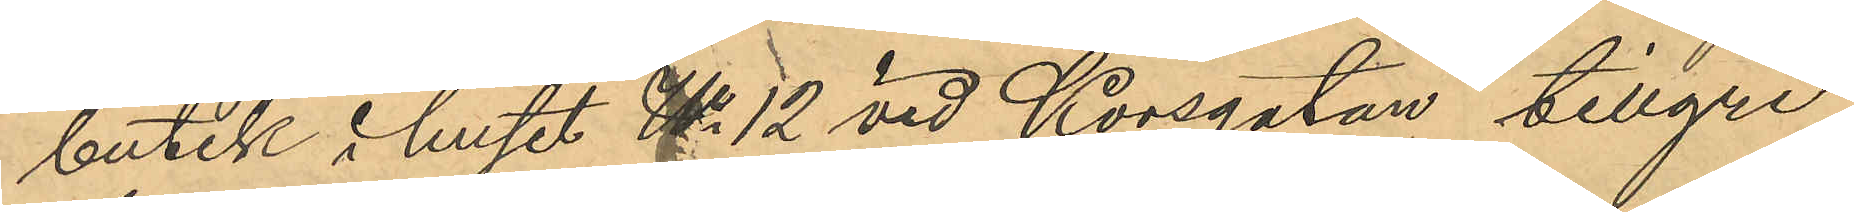butik i huset No 12 vid Korsgatan tillgri¬
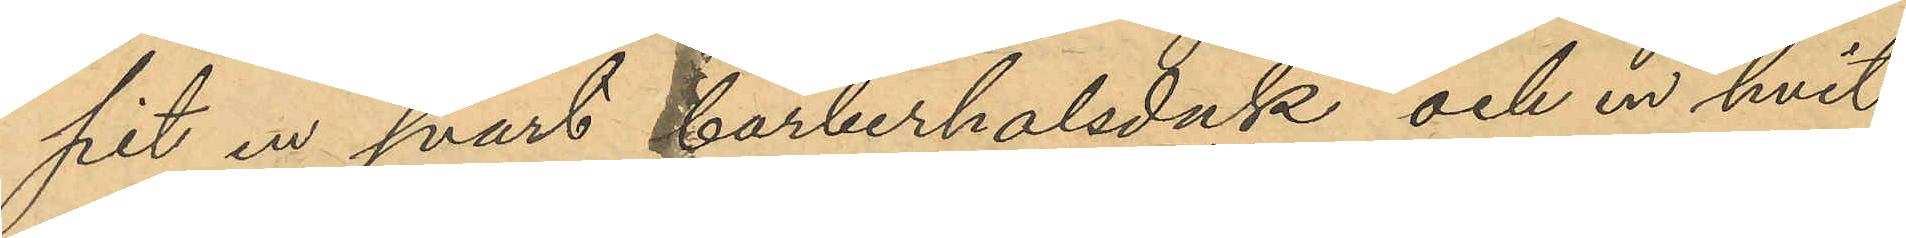pit en svart barberhalsduk och en hvit
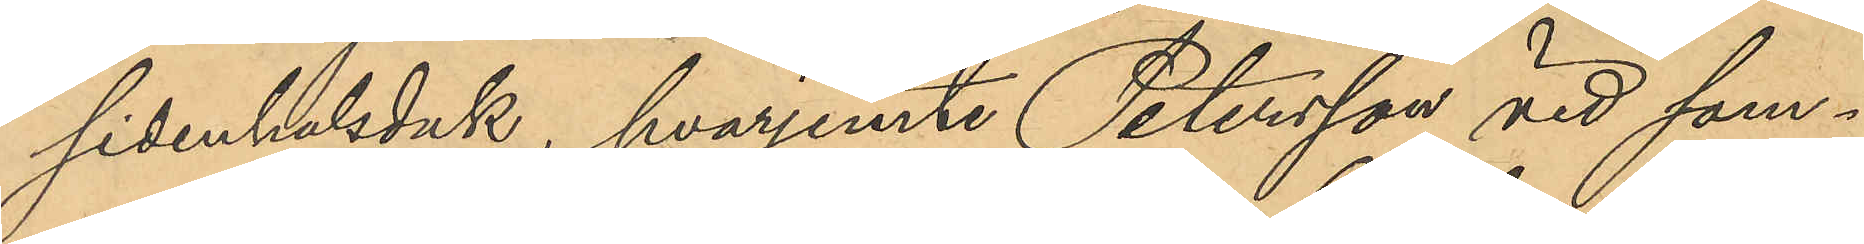sidenhalsduk, hvarjemte Petersson vid sam¬
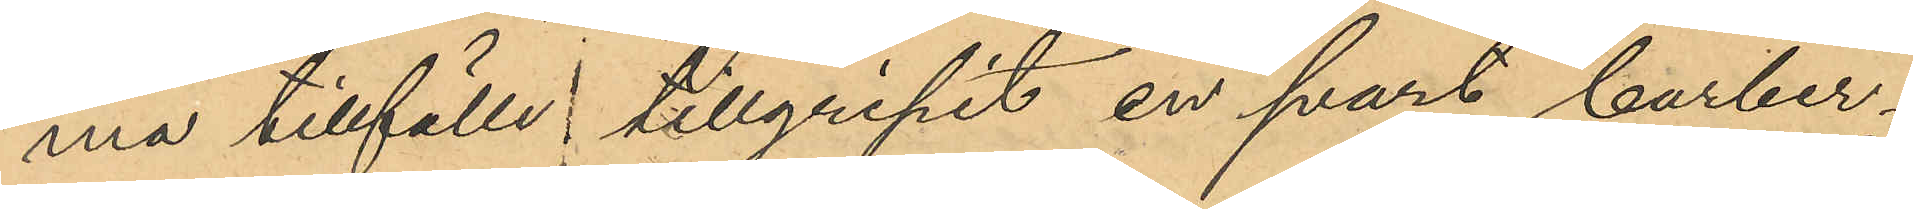ma tillfälle tillgripit en svart barber¬
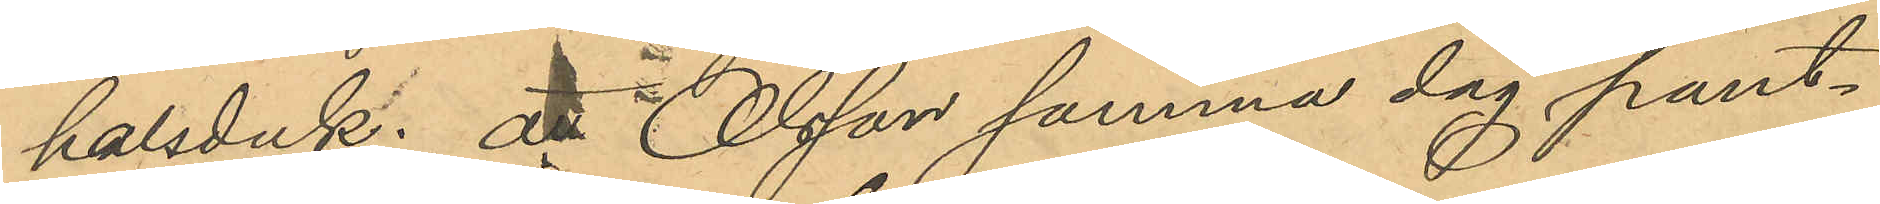halsduk; attt Olsson samma dag pant¬
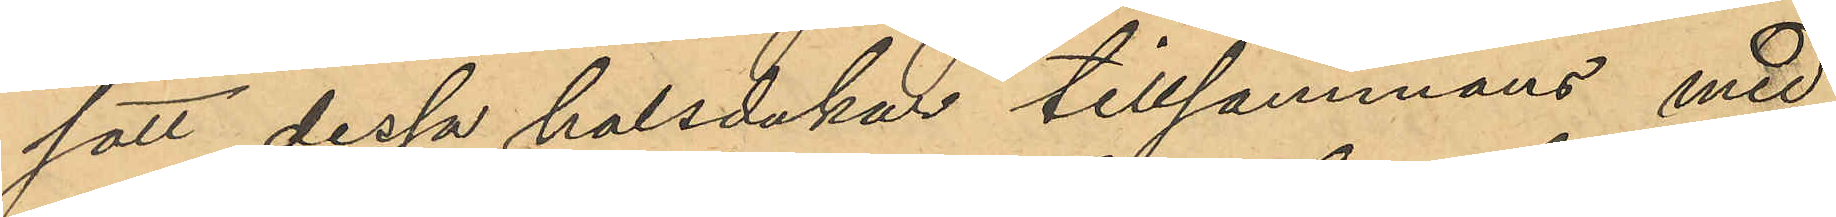satt dessa halsdukar tillsammans med
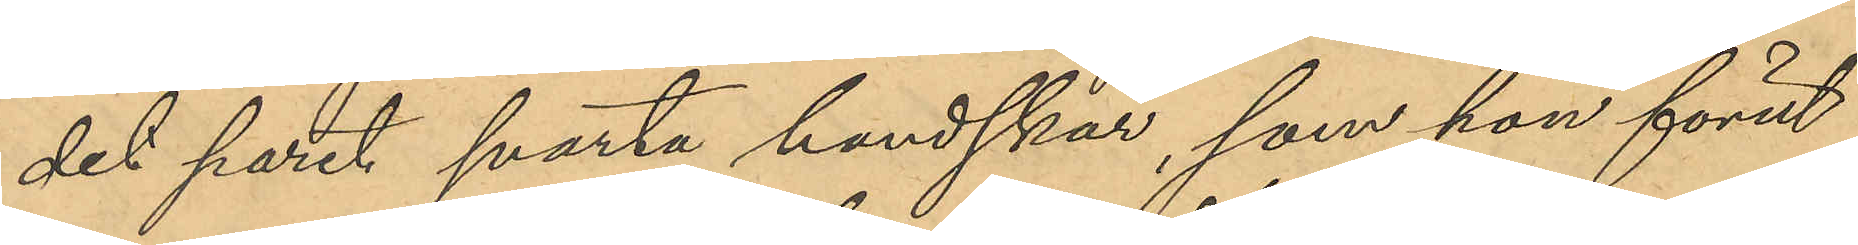det paret svarta handskar, som hon förut
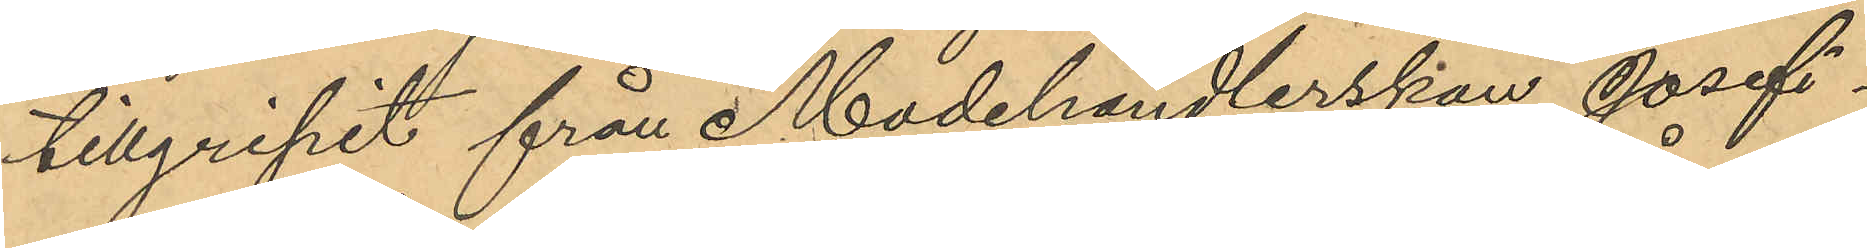tillgripit från Modehandlerskan Josefi¬
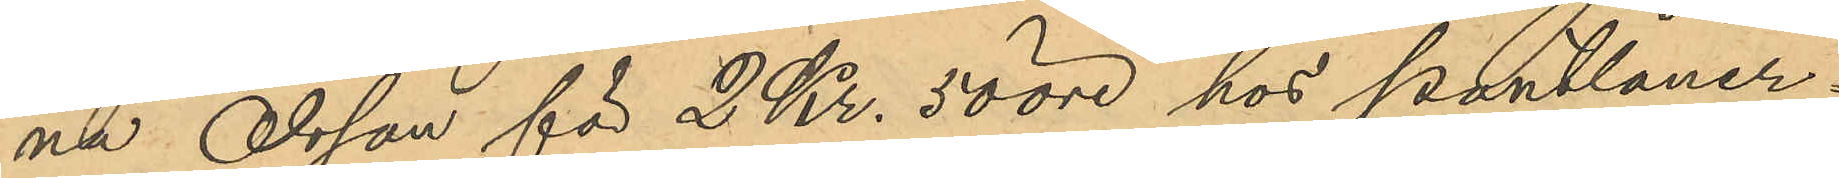na Olsson för 2 Kr. 50 öre hos Pantlåner¬
